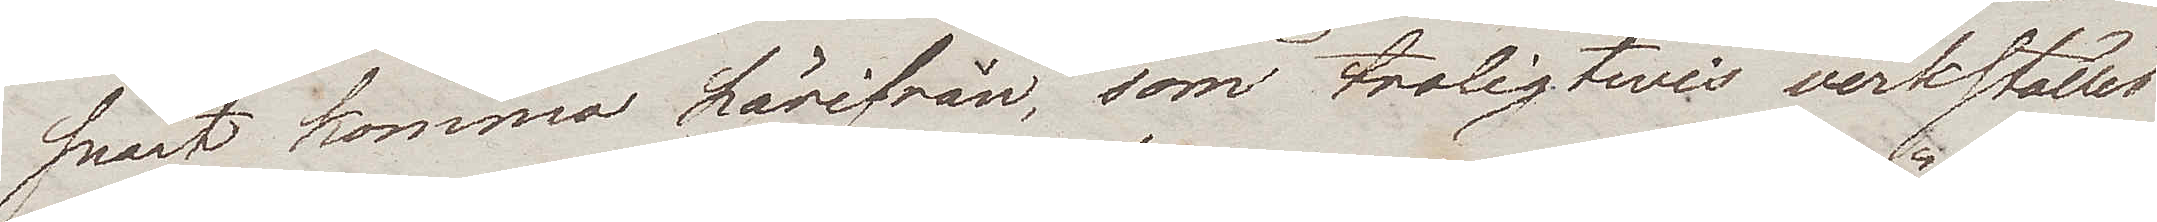snart komma härifrån, som troligtwis verkställes
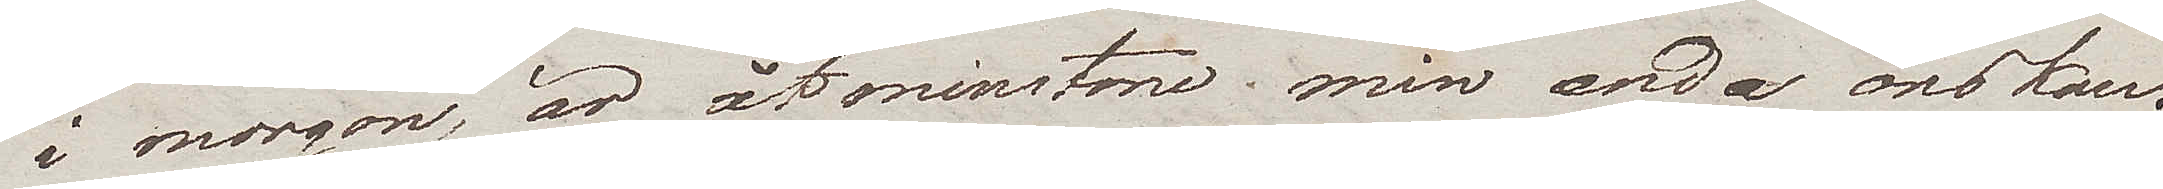i morgon, är åtminstone min enda önskan.
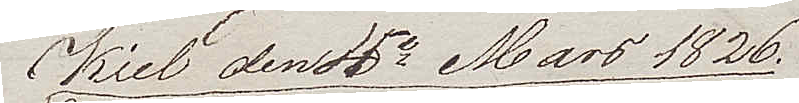Kiel den 4e Mars 1826.
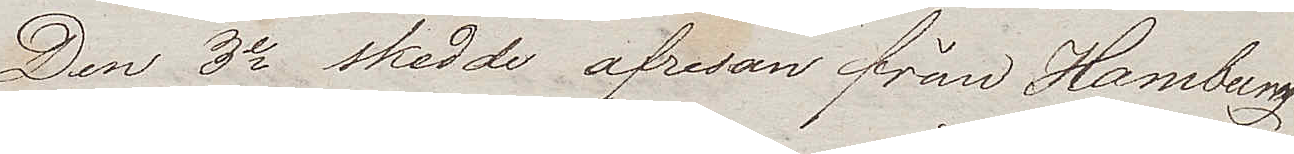Den 3e skedde afresan från Hamburg
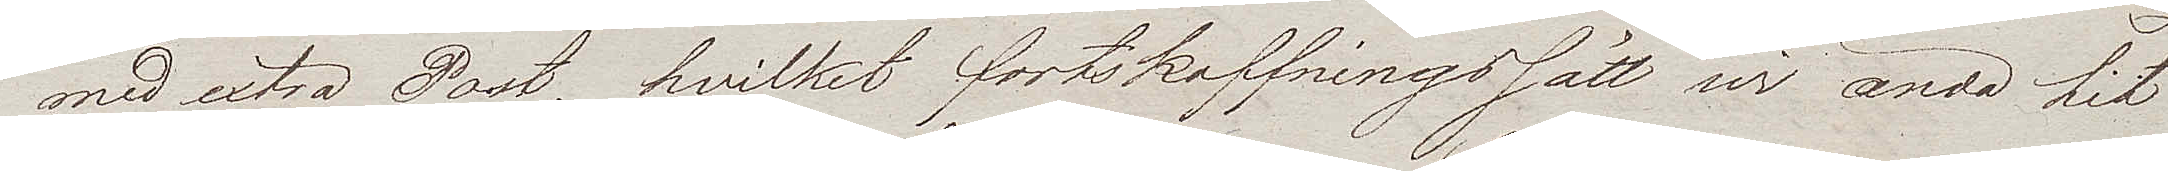med extra Post, hvilket fortskaffningssätt wi ända hit
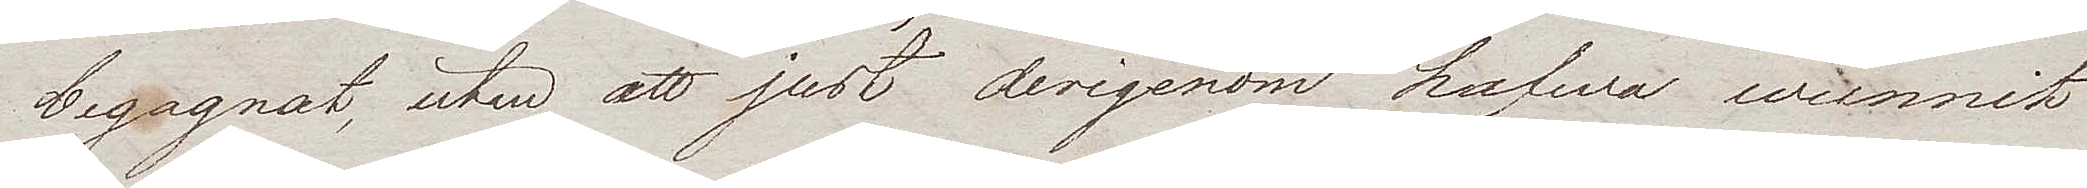begagnat, utan att just derigenom hafwa wunnit
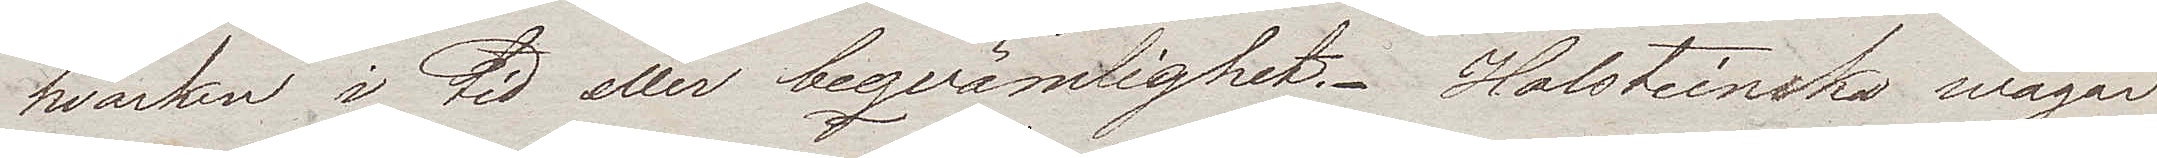hvarken i tid eller beqvämlighet. Holsteinska wägar
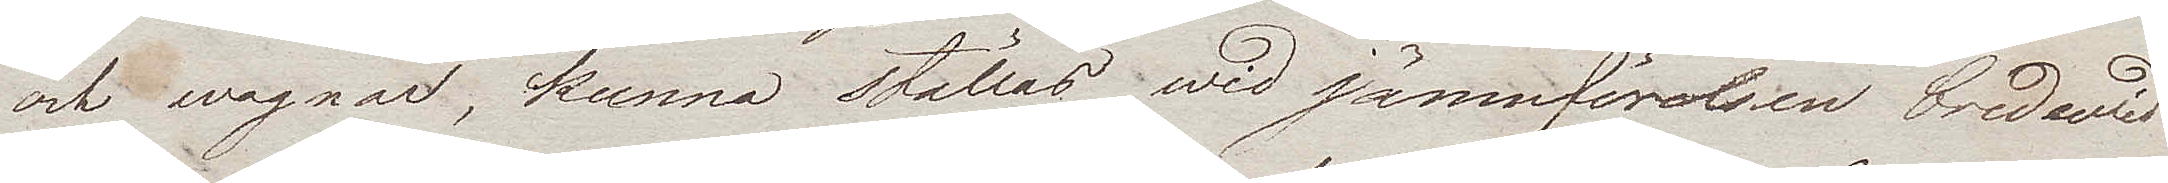och wagnar, kunna ställas wid jämnförelsen bredwid
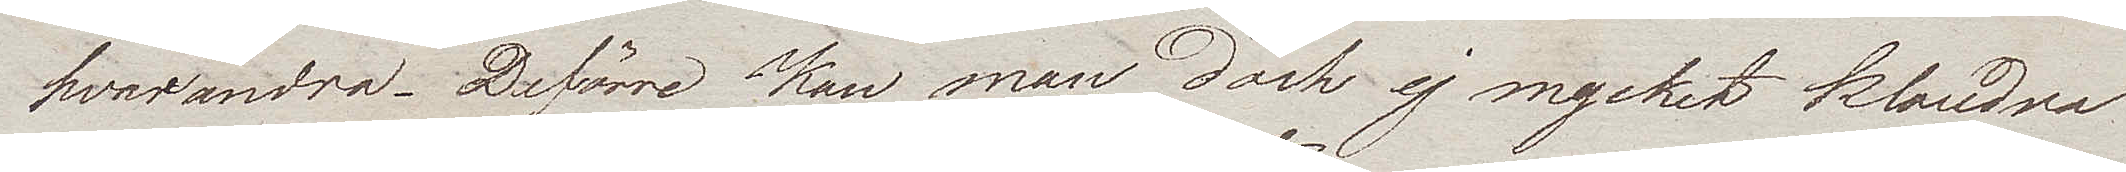hvarandra. De förre kan man dock ej mycket klandra
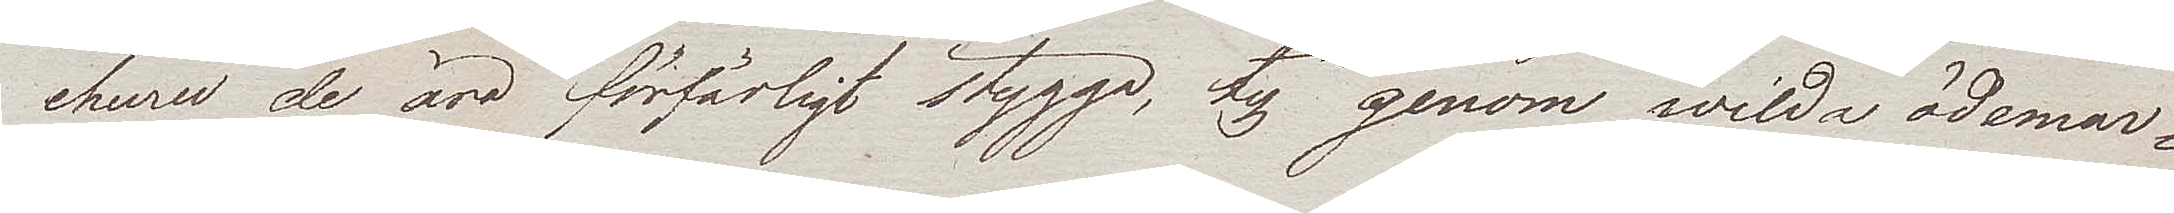ehuru de äro förfärligt stygga, ty genom wilda ödemar¬
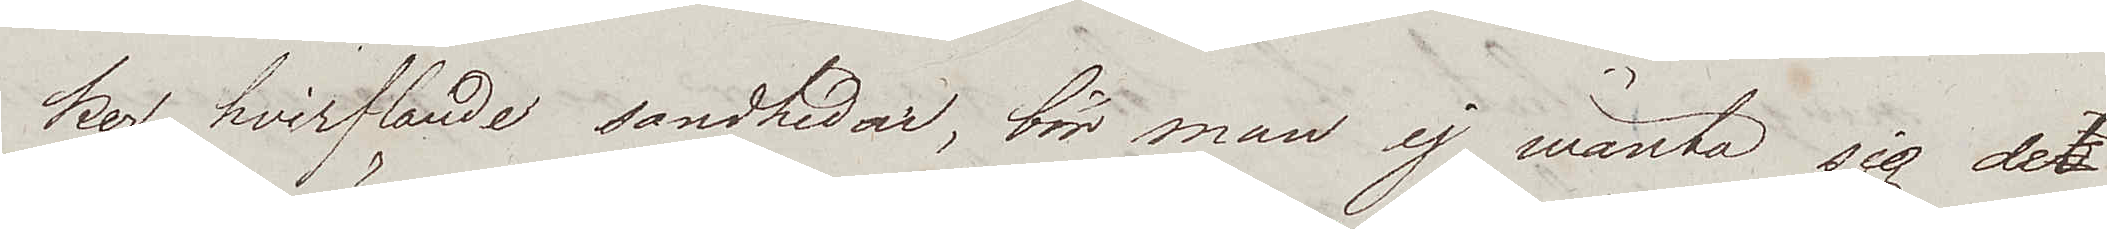ker, hvirflande sandhedar, bör man ej wänta sig det
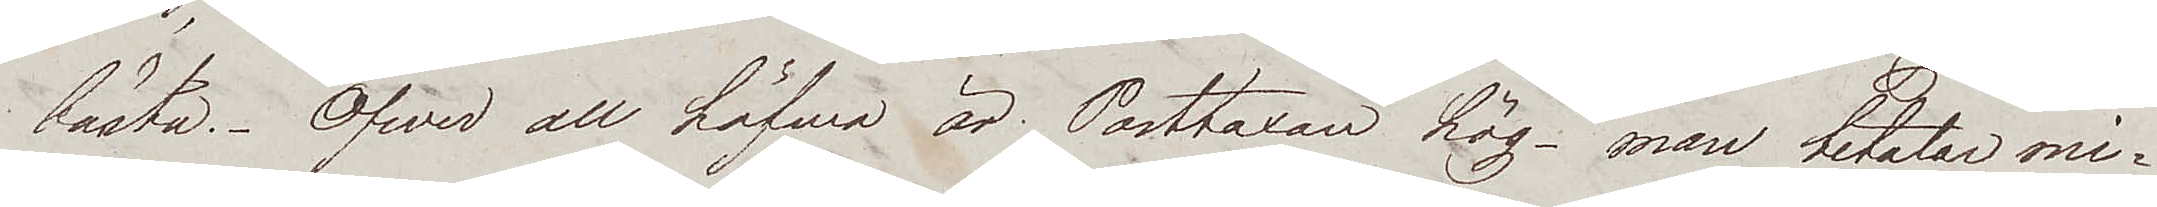bästa. Öfver all höfwa är Posttaxan hög – man betalar mi¬
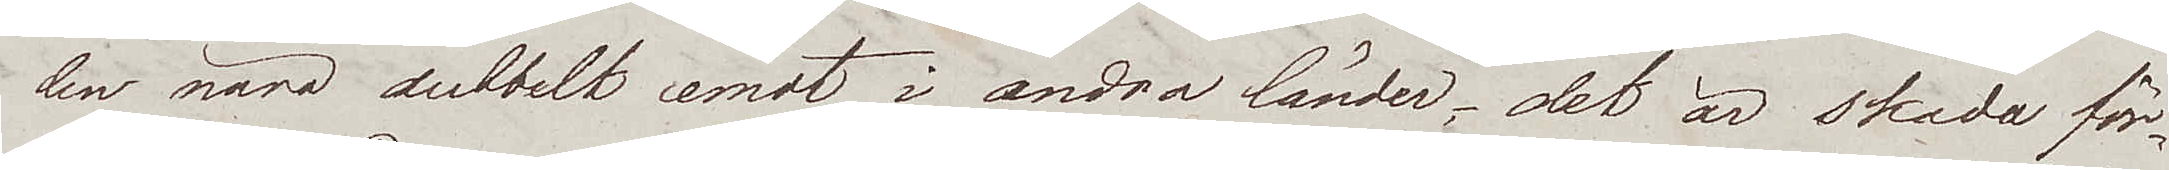len nära dubbelt emot i andra länder; det är skada för
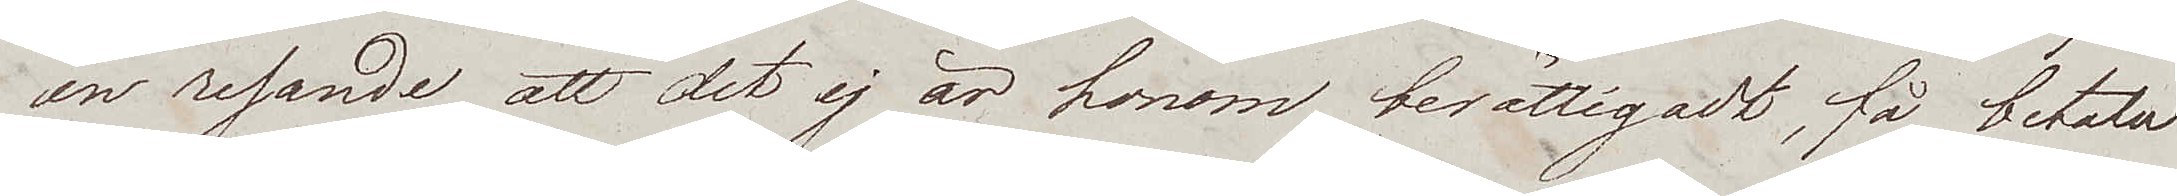en resande att det ej är honom berättigadt, få betala
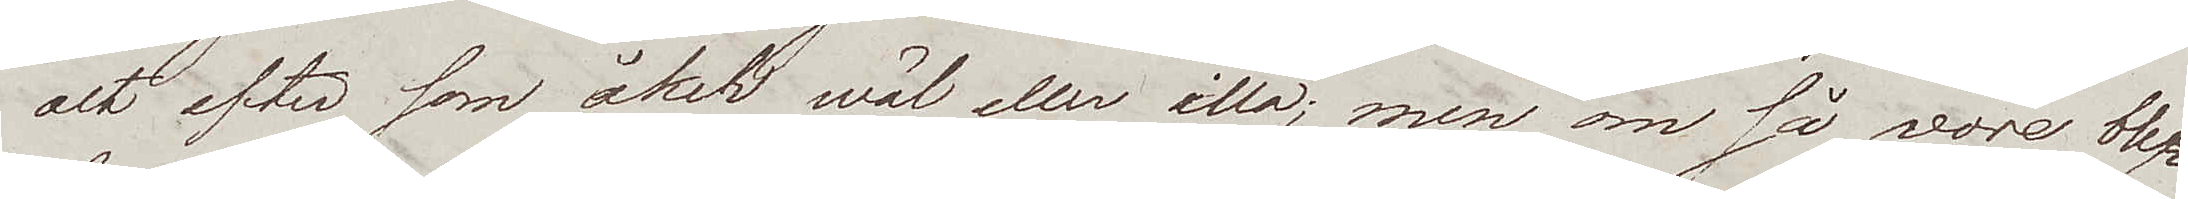alt efter som åker wäl eller illa; men om så vore blef¬
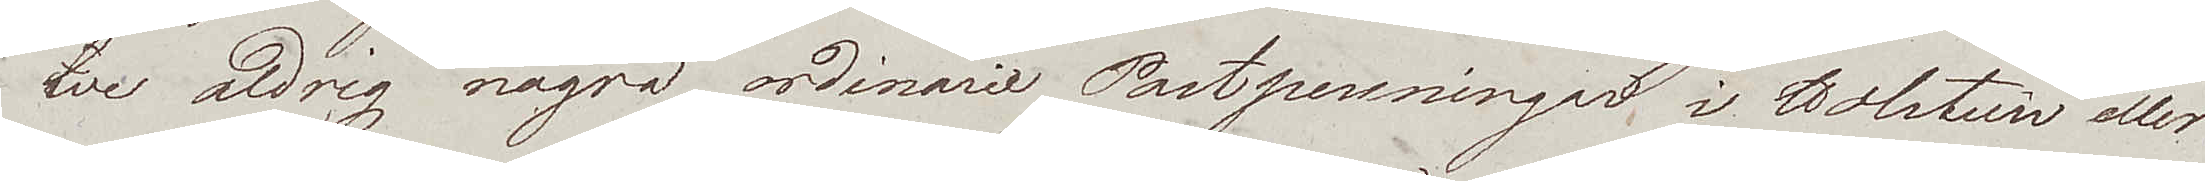we aldrig några, ordinarie Postpenningar, i Holstien eller
